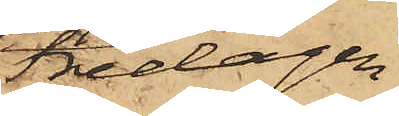Fredagen
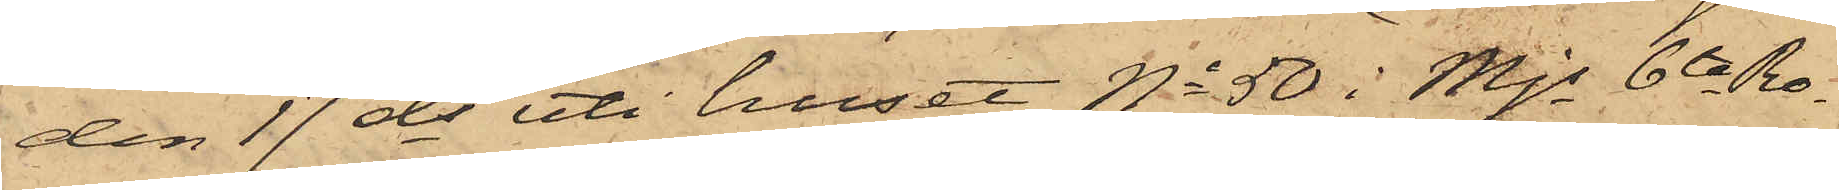den 17 ds uti huset No 50 i Mjs 6te Ro¬
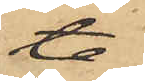te
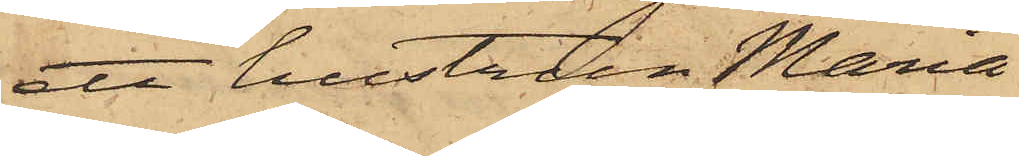ett hustrun Maria
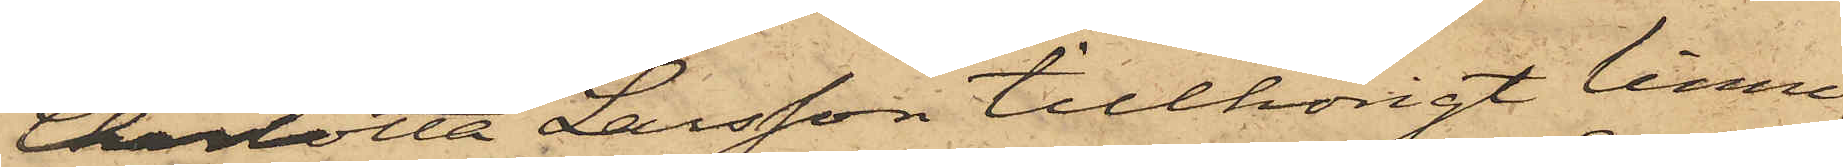Charlotta Larsson tillhörigt linne¬
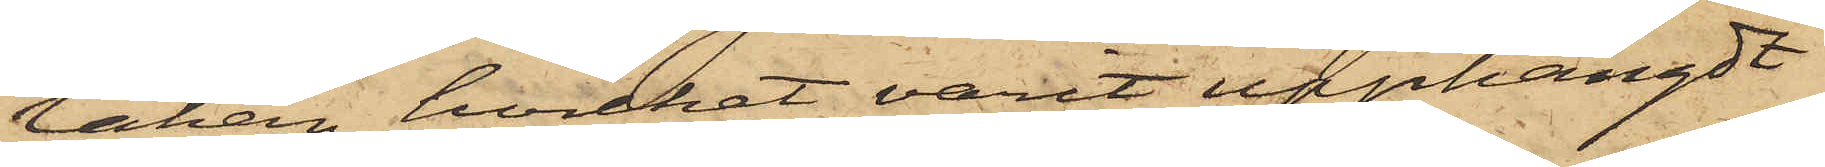lakan, hvilket varit upphängdt
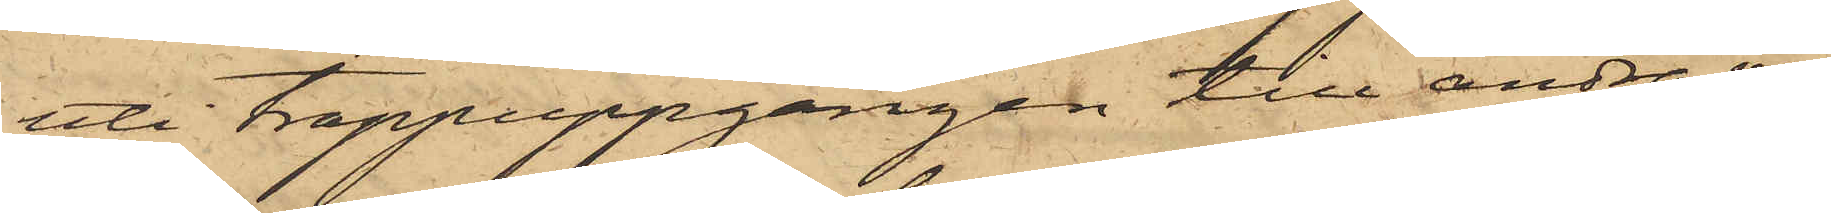uti trappuppgången till andra vå¬
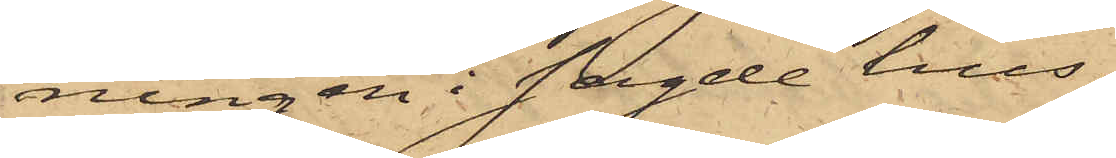ningen i sagde hus
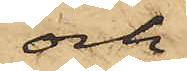och
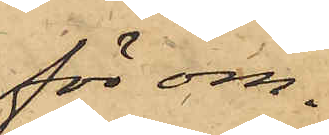för om¬
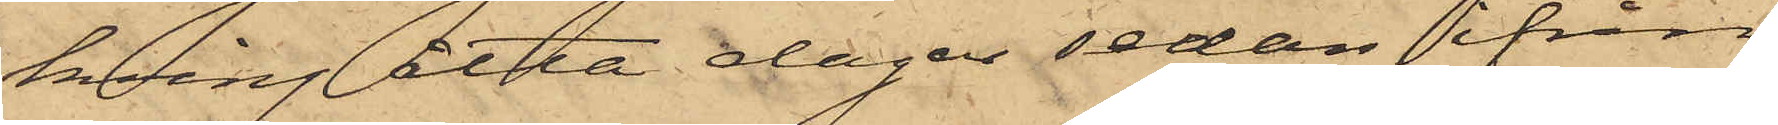kring åtta dagar sedan ifrån
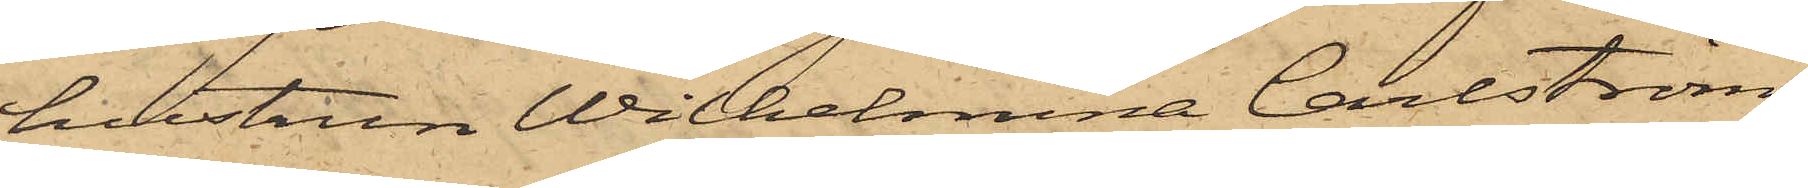hustrun Wilhelmina Carlström,
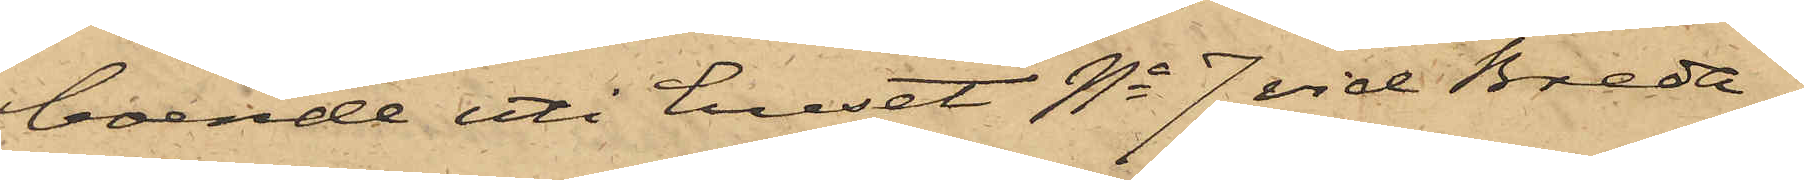boende uti huset No 7 vid Breda
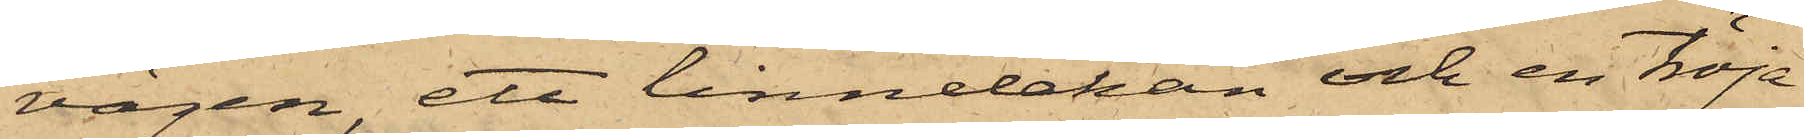vägen, ett linnelakan och en tröja
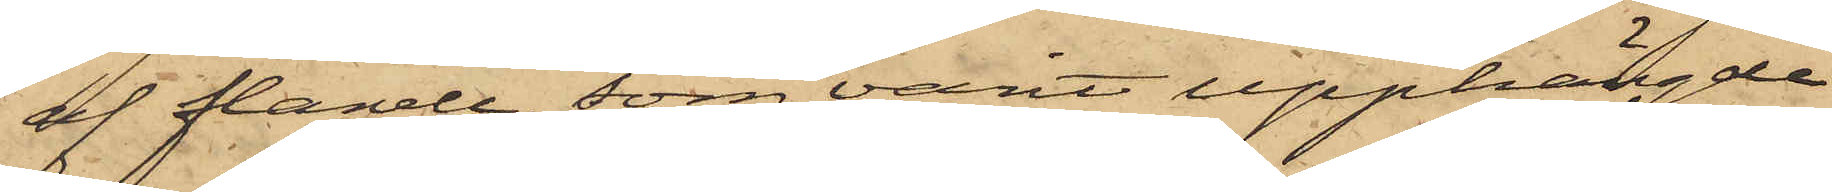af flanell, som varit upphängde
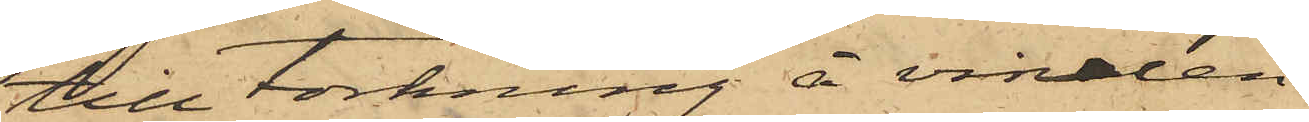till torkning å vinden
